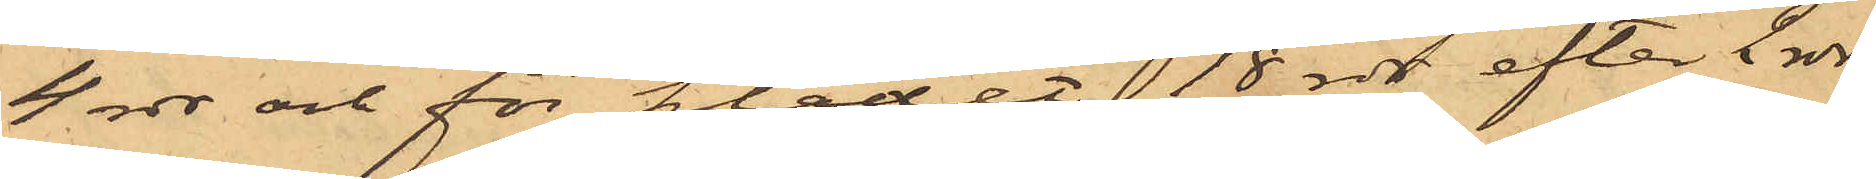4 rdr och för klädet 18 rdr efter 2 rdr
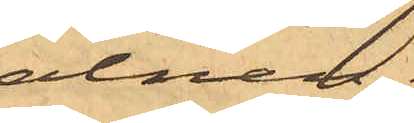alnen.
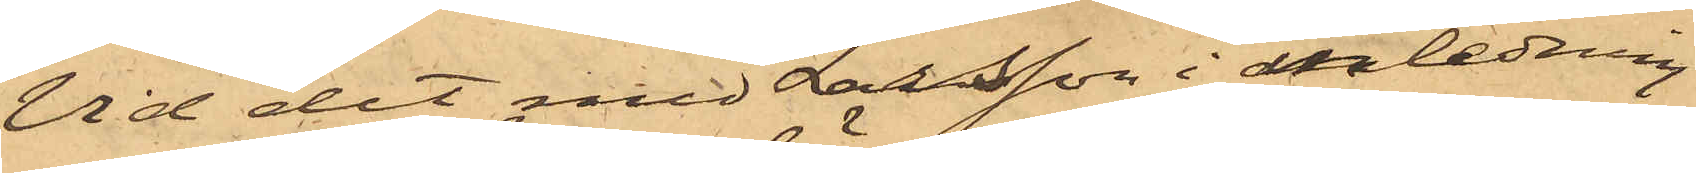Vid det med Larsson i anledning
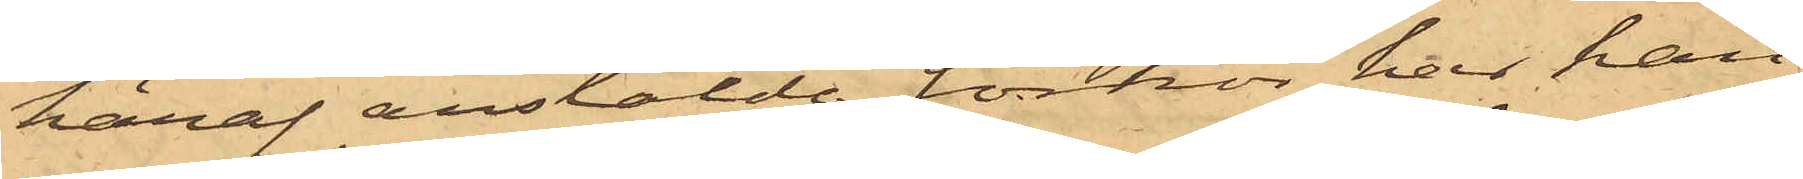häraf anstälde förhör har han
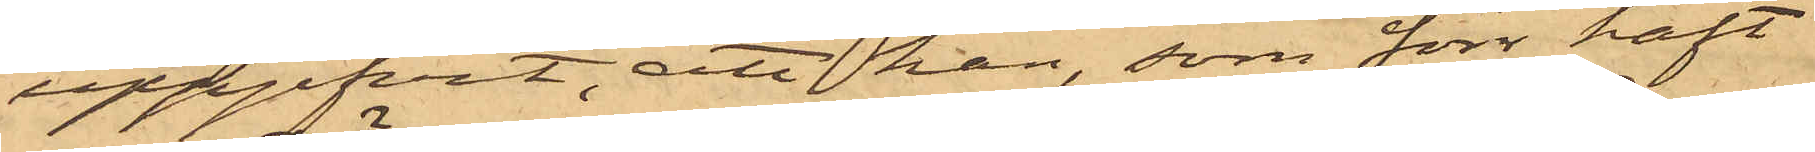uppgifvit, att han, som förr haft
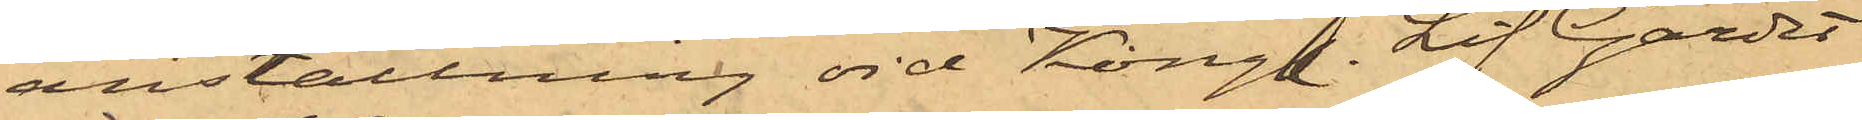anställning vid Kongl. Lif Gardet
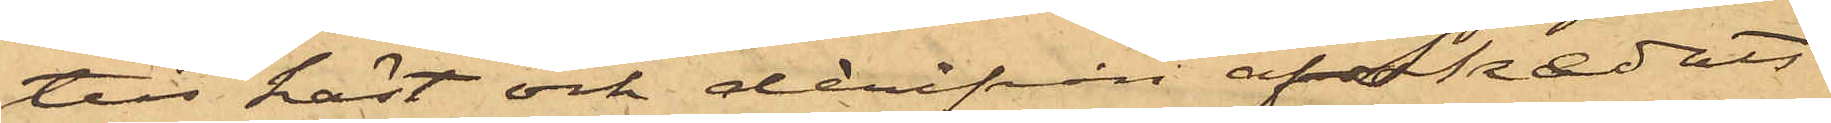till häst och derifrån afskedats
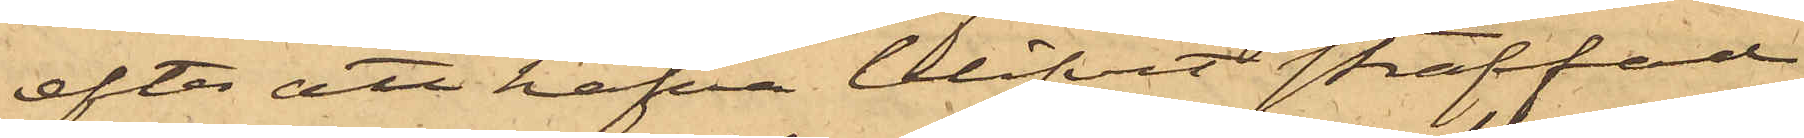efter att hafva blifvit straffad
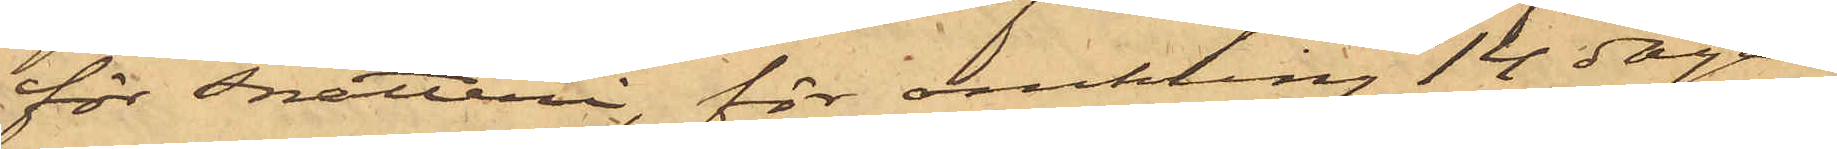för Snatteri, för omkring 14 dagar
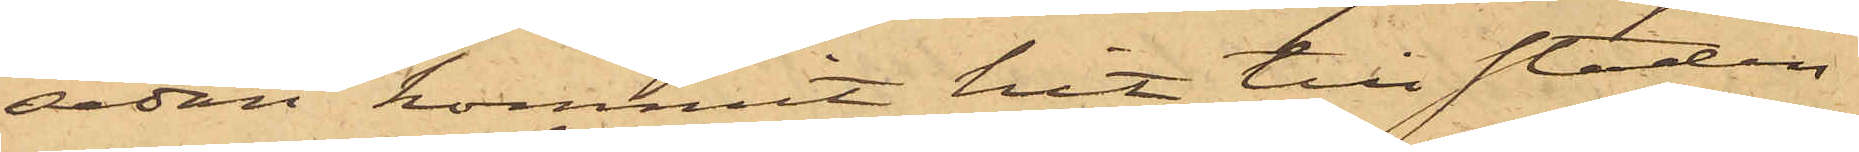sedan kommit hit till staden
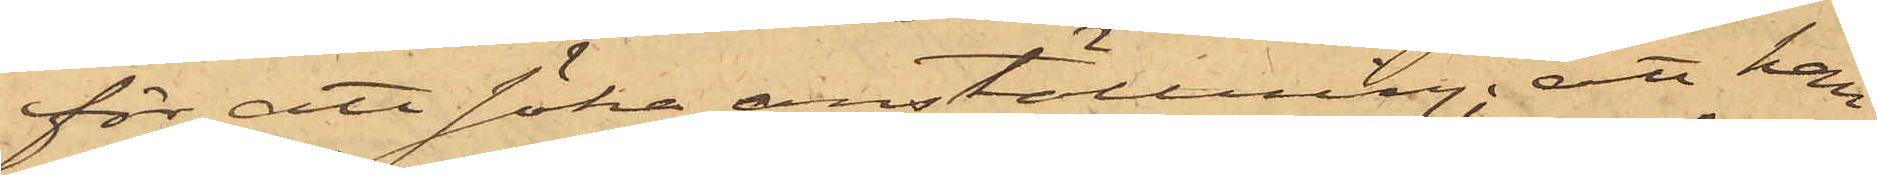för att söka anställning; att han
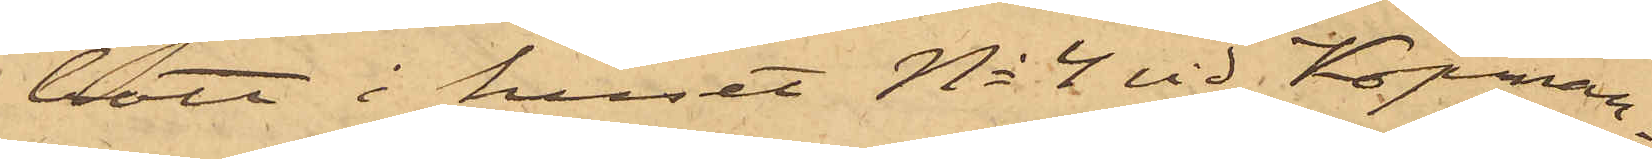bott i huset No 4 vid Köpman¬
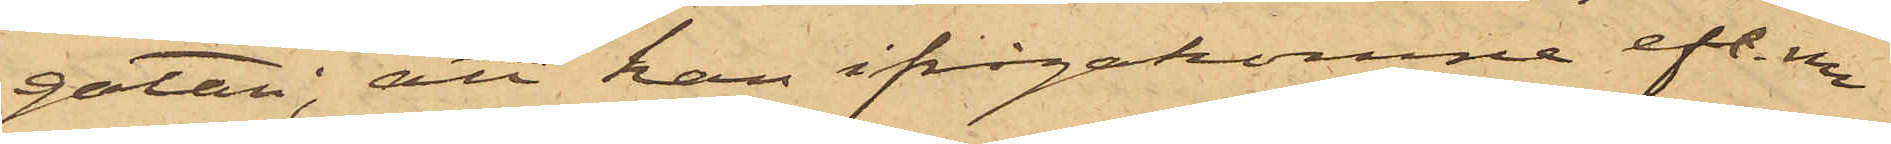gatan; att han ifrågakomne eft. m
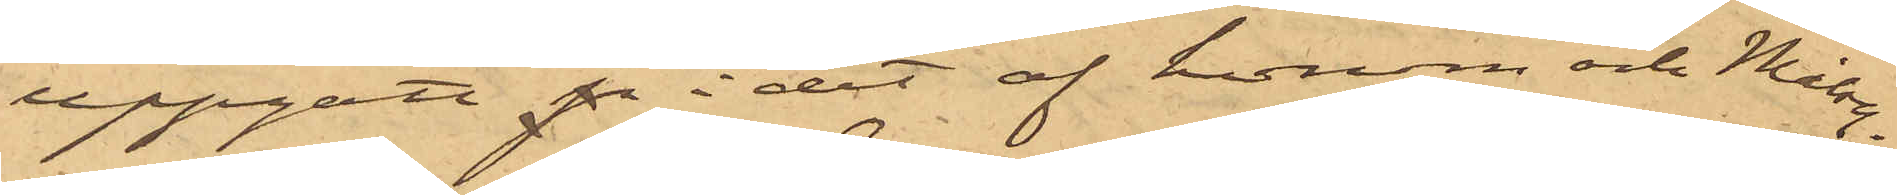uppgått p i det af honom och Målseg.
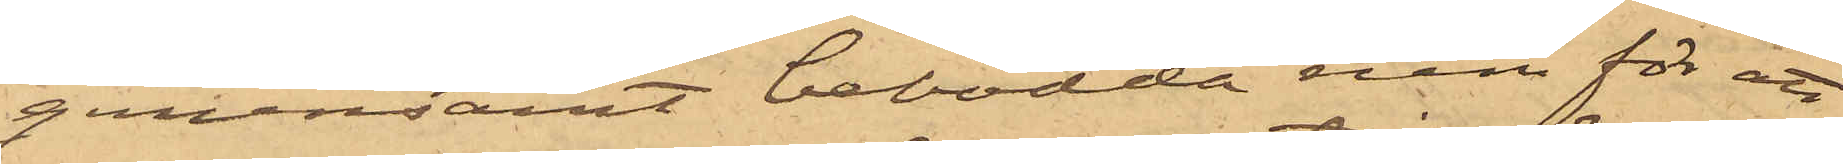gemensamt bebodda rum för att
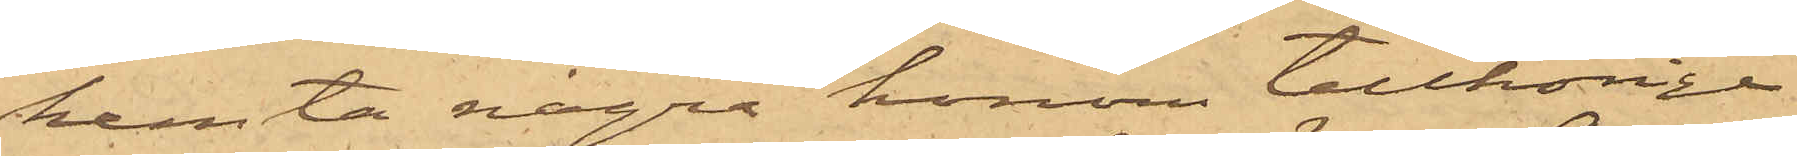hemta några honom tillhörige
